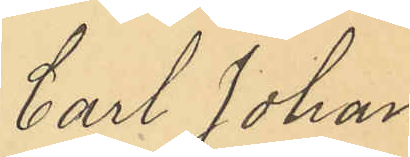Carl Johan
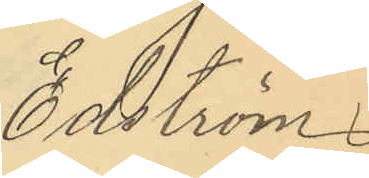Edström
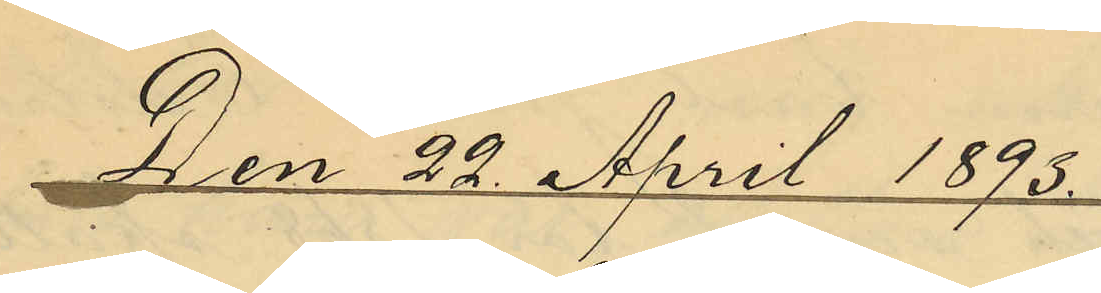Den 22 April 1893.
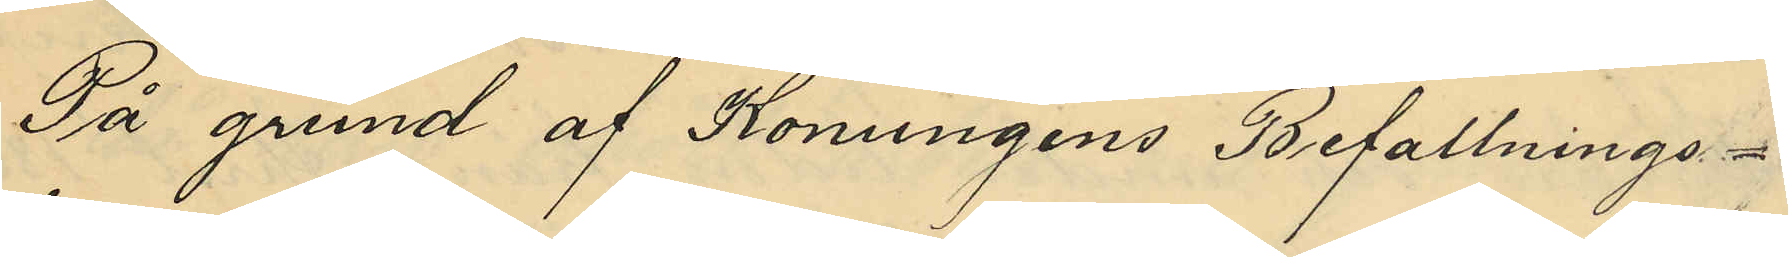På grund af Konungens Befallnings¬
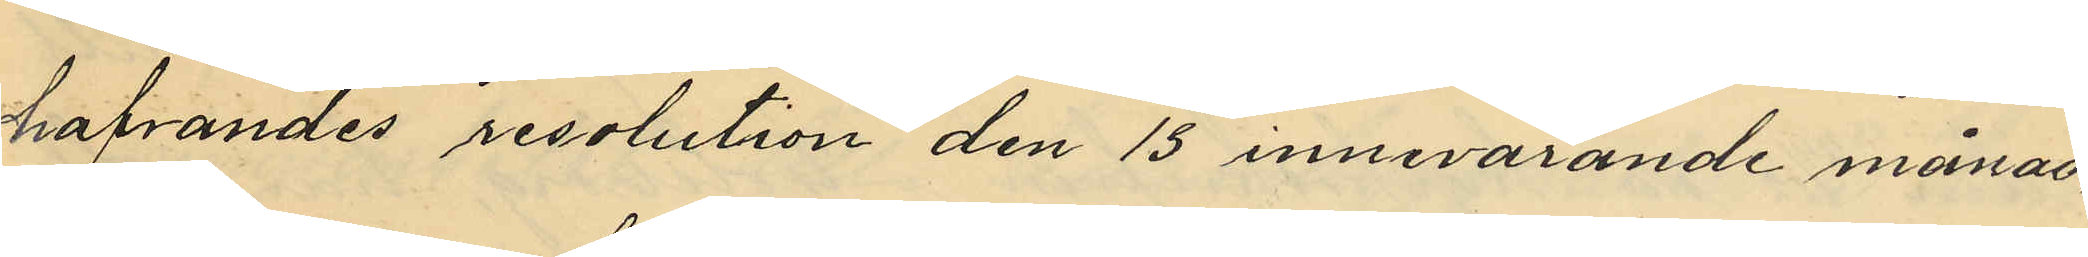hafvandes resolution den 13 innevarande månad,
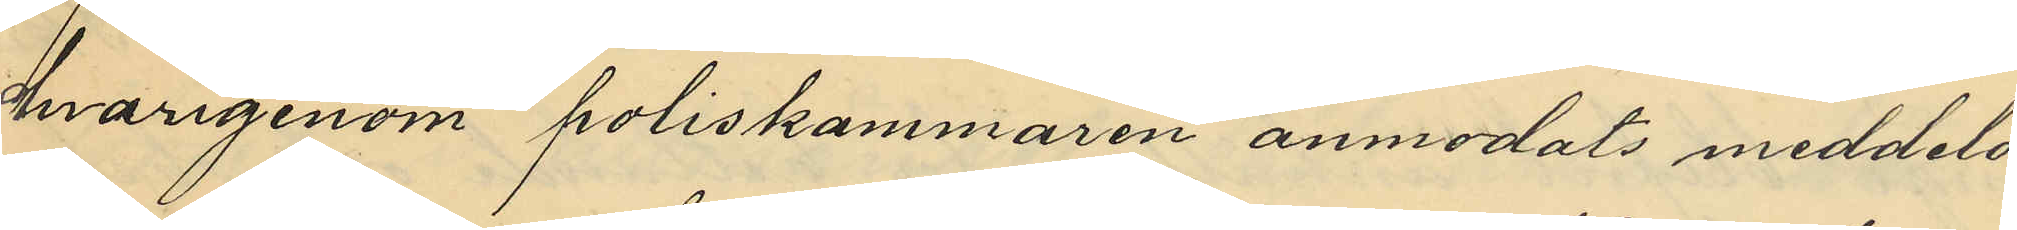hvarigenom poliskammaren anmodats meddela,
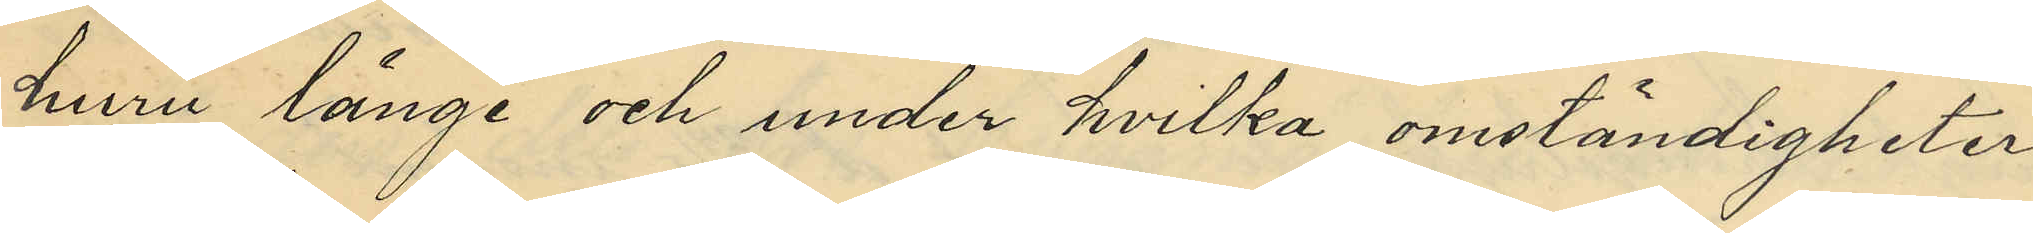huru länge och under hvilka omständigheter,
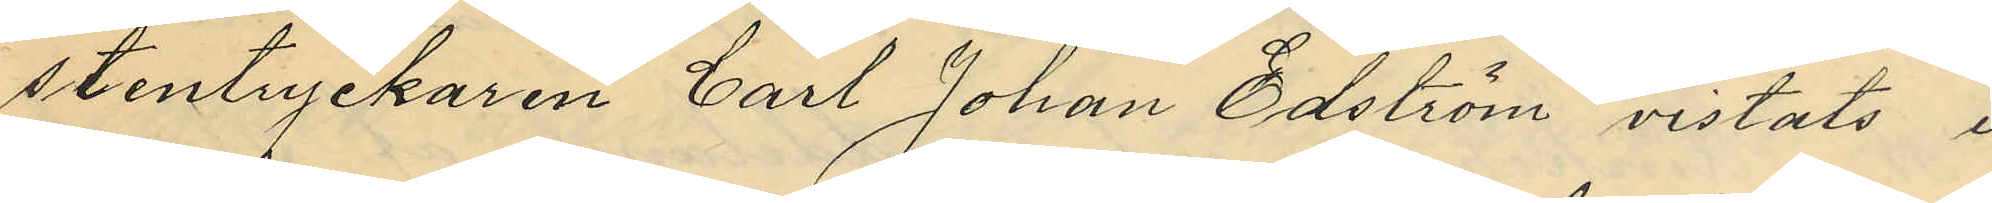stentryckaren Carl Johan Edström vistats i
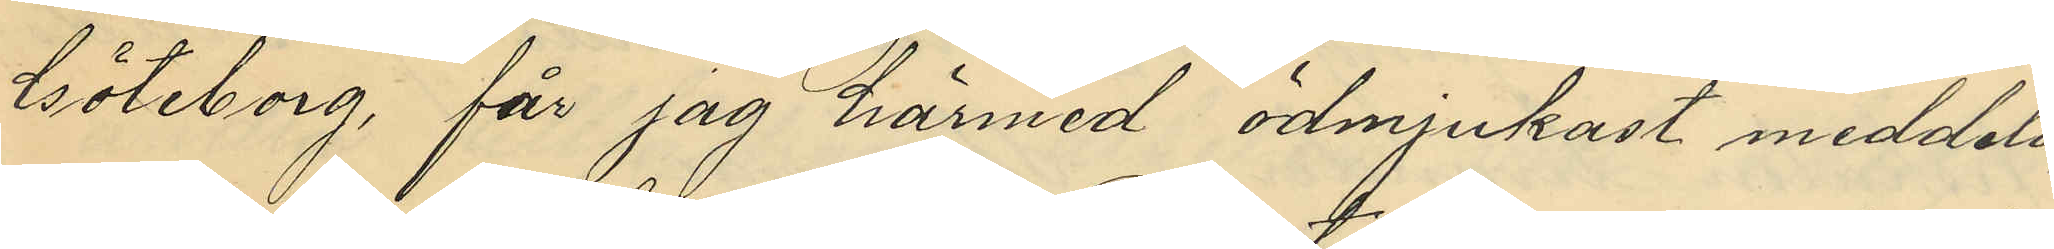Göteborg, får jag härmed ödmjukast meddela,
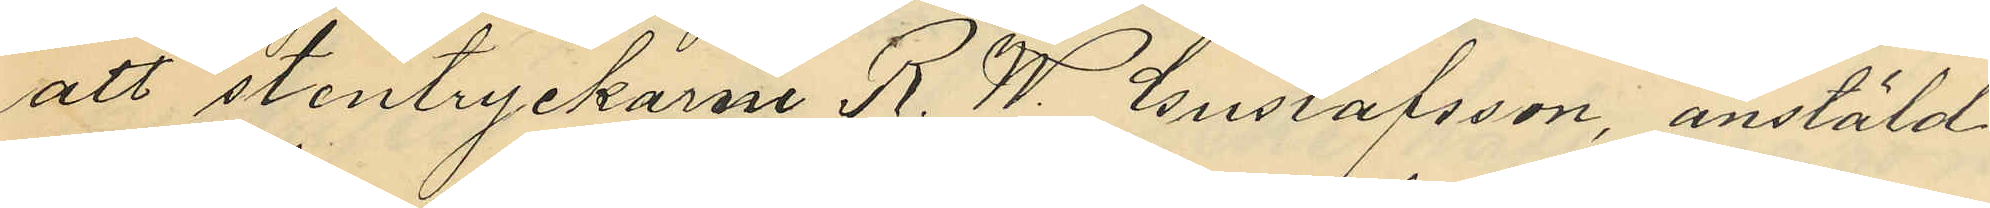att stentryckaren R. W. Gustafsson, anstäld
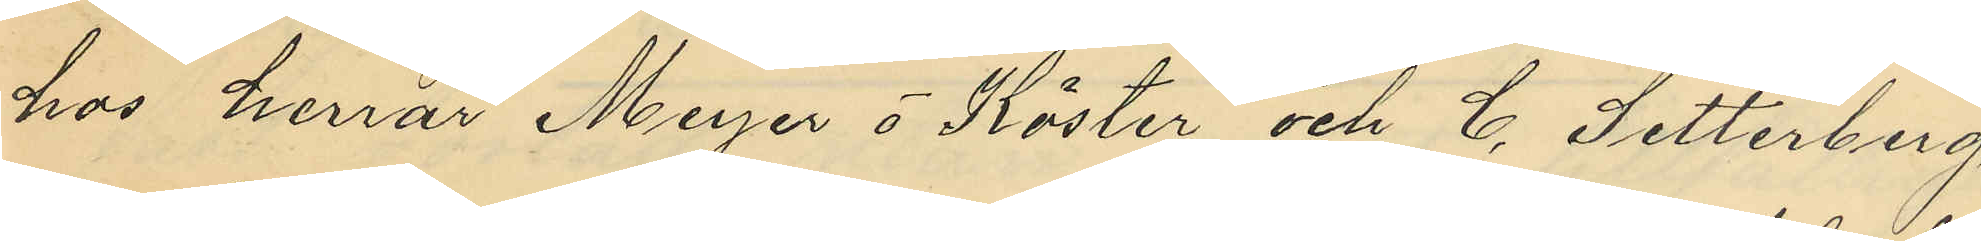hos herrar Meyer o Köster, och C. Setterberg,
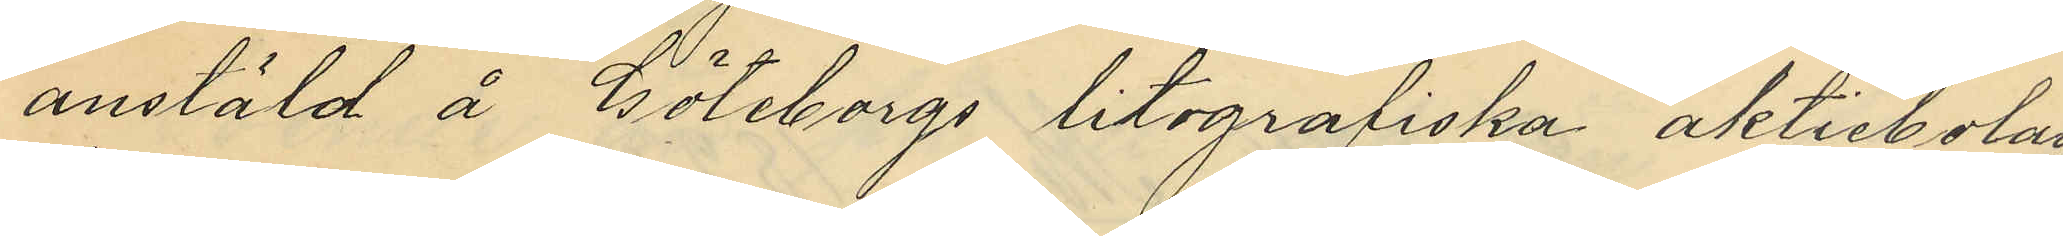anstäld å Göteborgs litografiska aktiebolag,
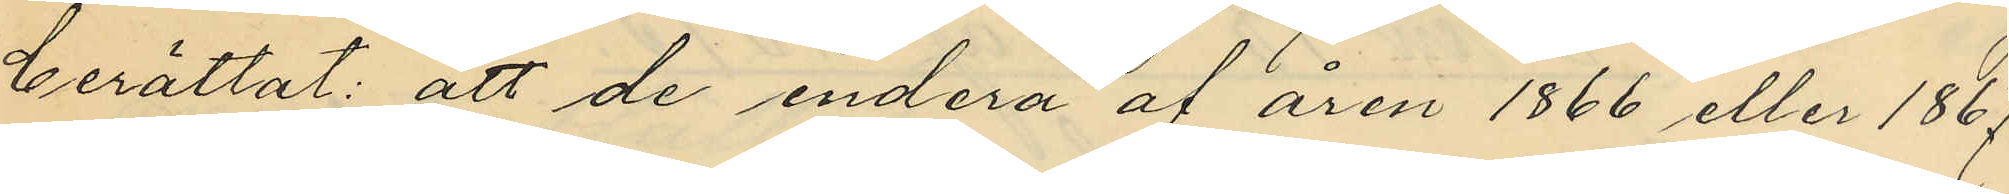berättat: att de endera af åren 1866 eller 1867
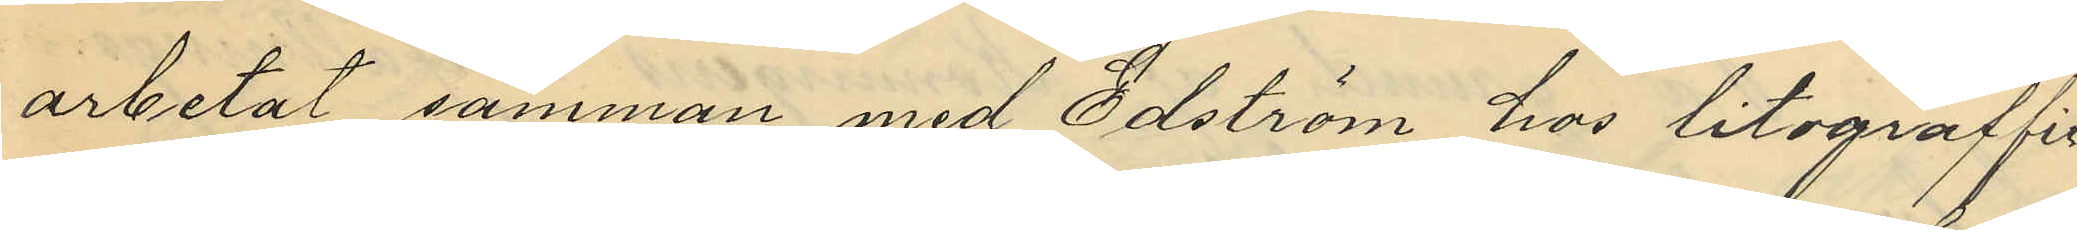arbetat samman med Edström hos litograffir¬
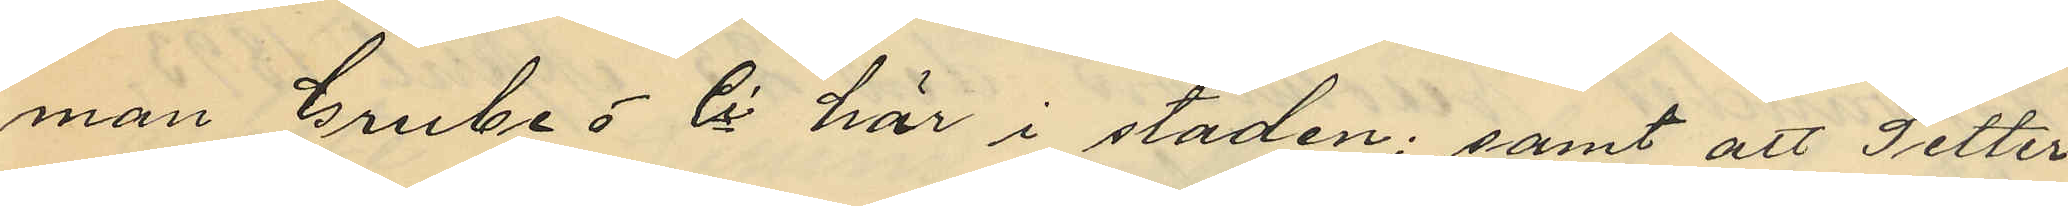man Grube o Ci här i staden; samt att Setter¬
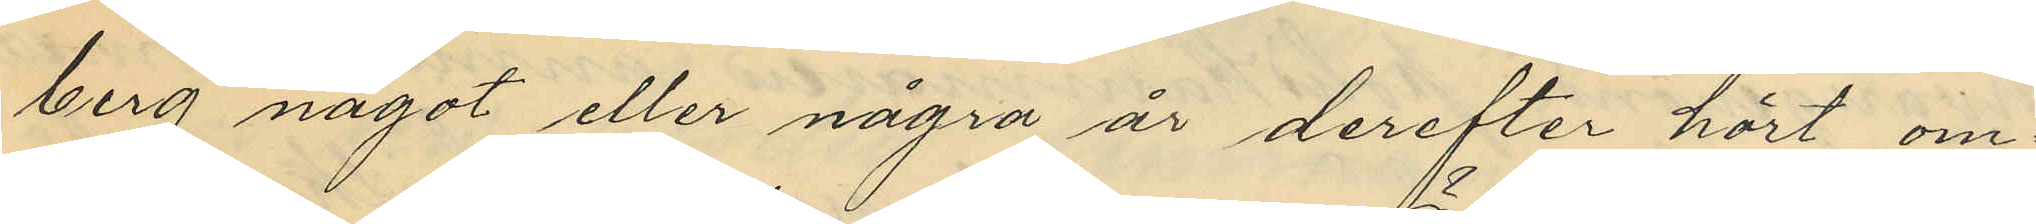berg något eller några år derefter hört om¬
